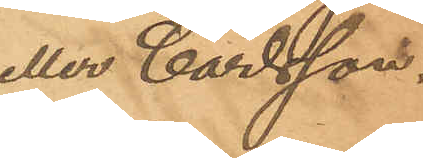eller Carlsson.
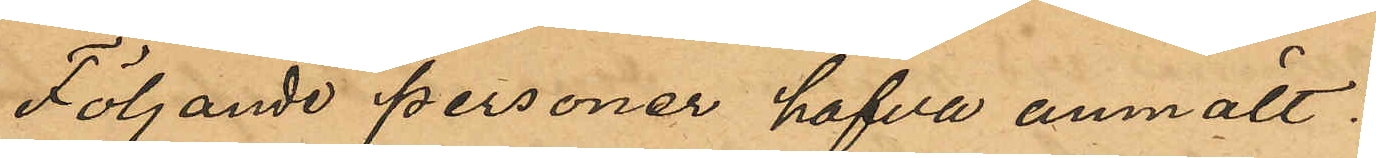Följande personer hafva anmält:
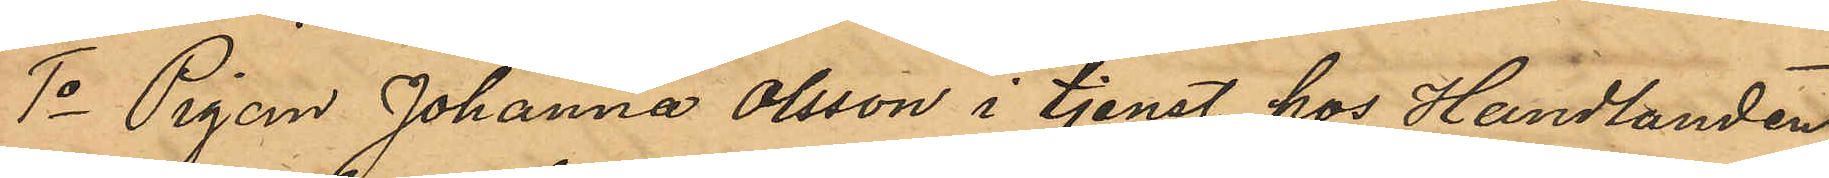1o Pigan Johanna Olsson i tjenst hos Handlanden
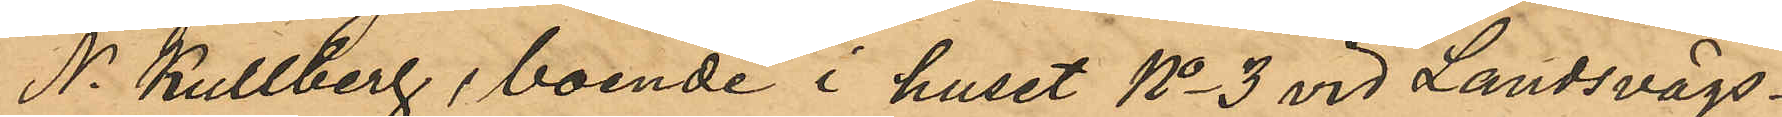N. Kullberg, boende i huset No 3 vid Landsvägs¬
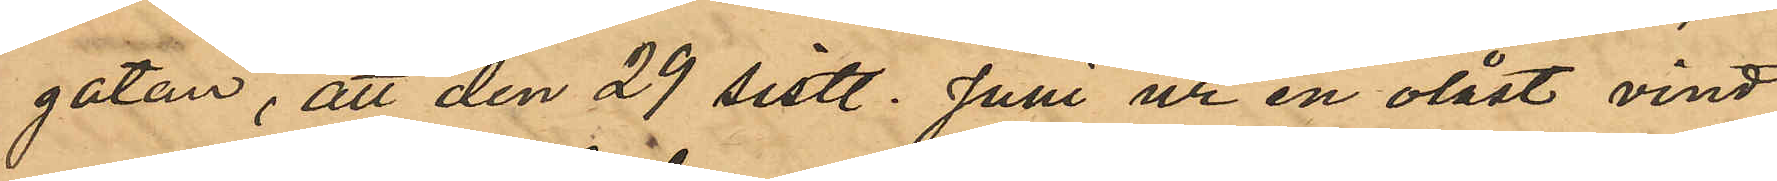gatan, att den 29 sistl. Juni ur en olåst vind
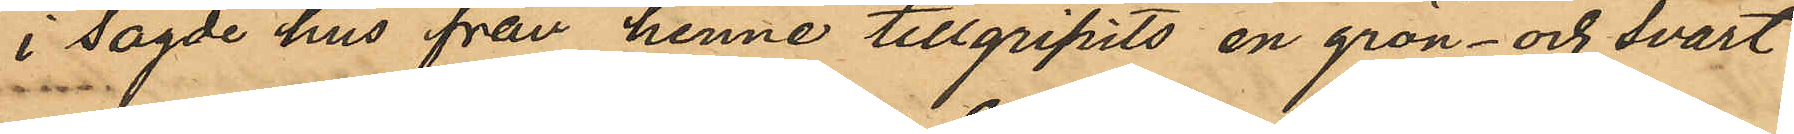i sagde hus från henne tillgripits en grön- och svart¬
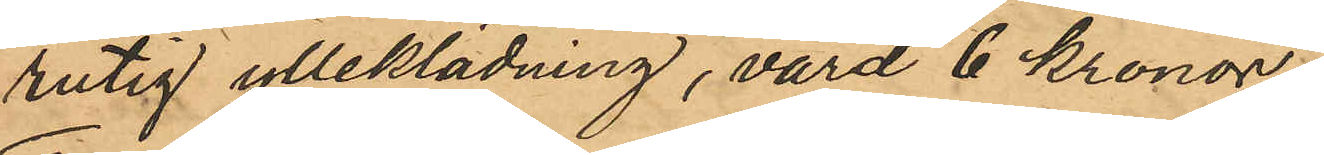rutig ylleklädning, värd 6 kronor;
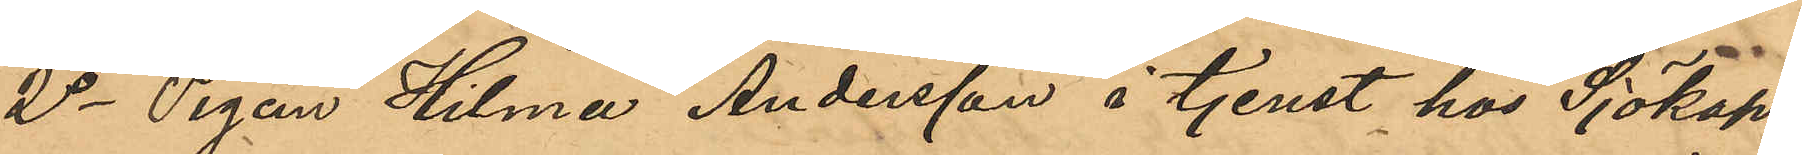2o Pigan Hilma Andersson å tjenst hos Sjökap¬
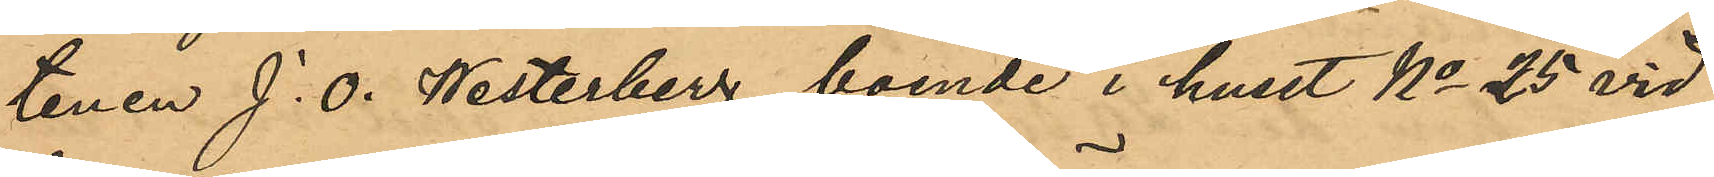tenen J. O. Westerberg, boende i huset No 25 vid
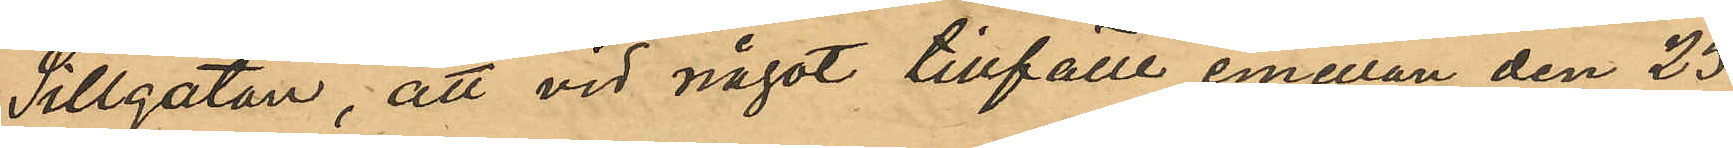Sillgatan, att vid något tillfälle emellan den 23
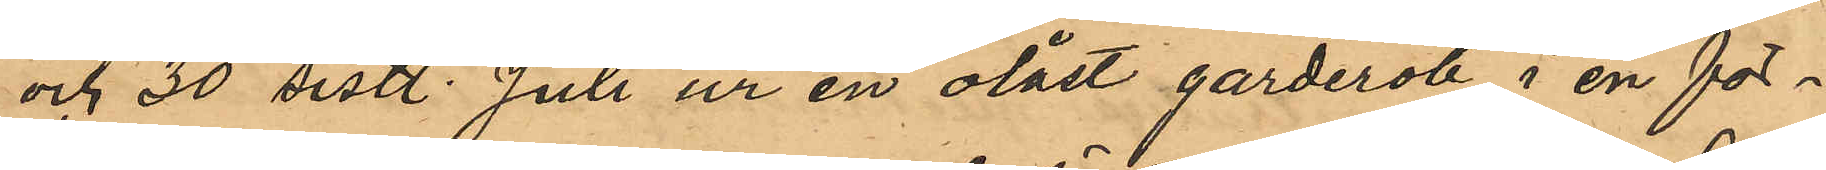och 30 sistl. Juli ur en olåst garderob i en för¬
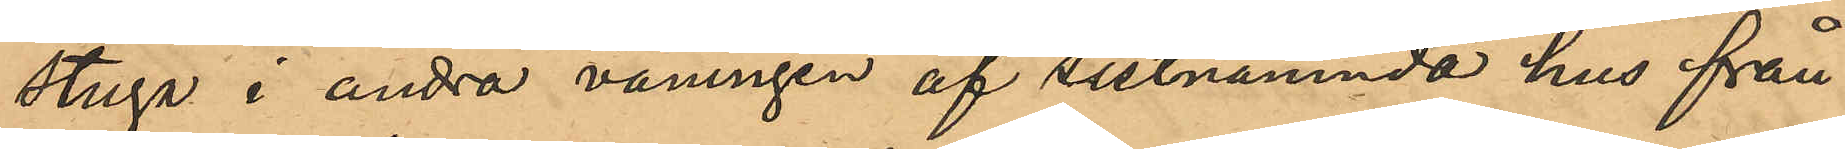stuga i andra våningen af sistnämnda hus från
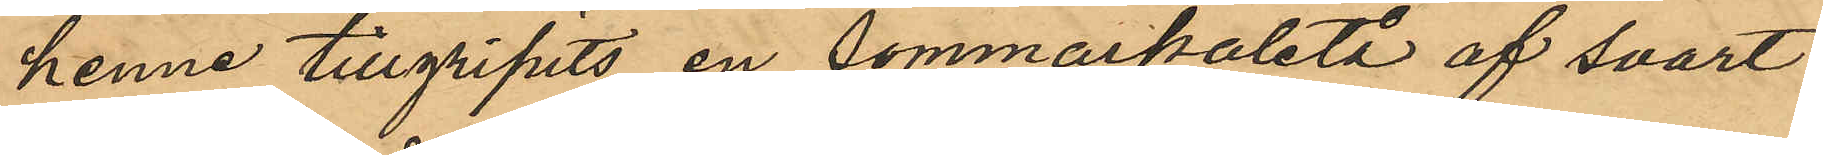henne tillgripits en sommarpaletå af svart
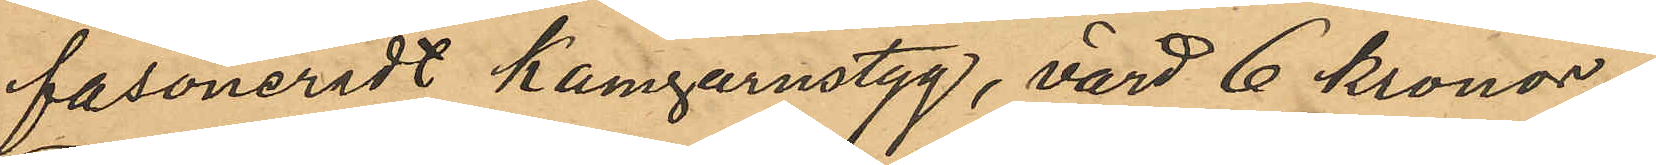fasoneradt kamgarnstyg, värd 6 kronor;
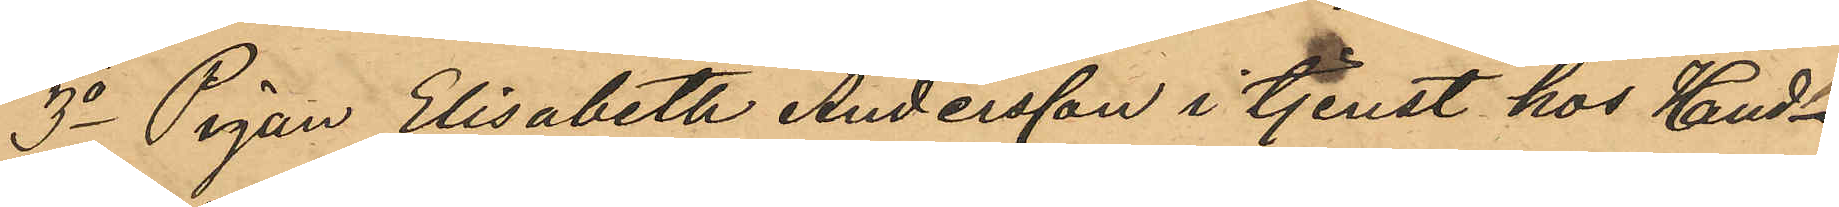3o Pigan Elisabeth Andersson i tjenst hos Hand¬
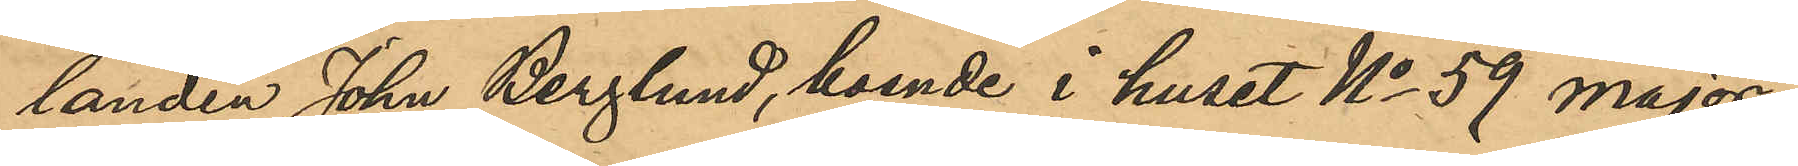landen John Berglund, boende i huset No 59 Major¬
